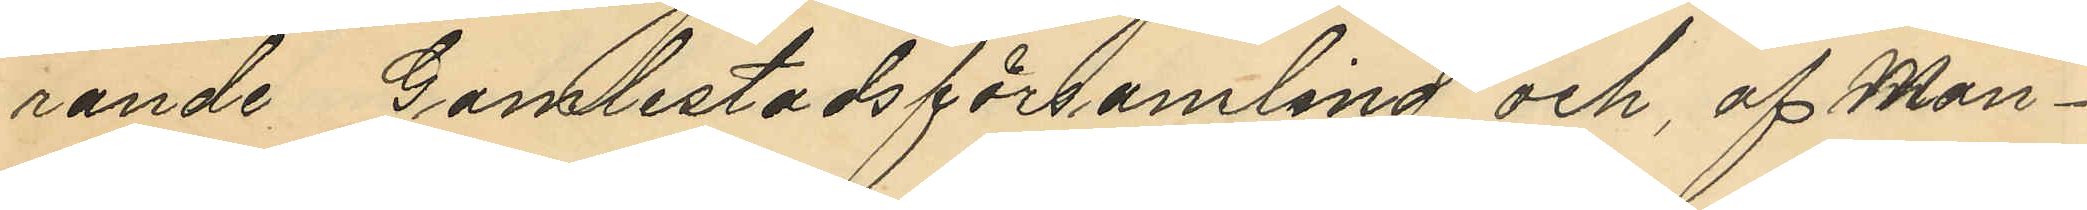rande Gamlestadsförsamling och af Man¬
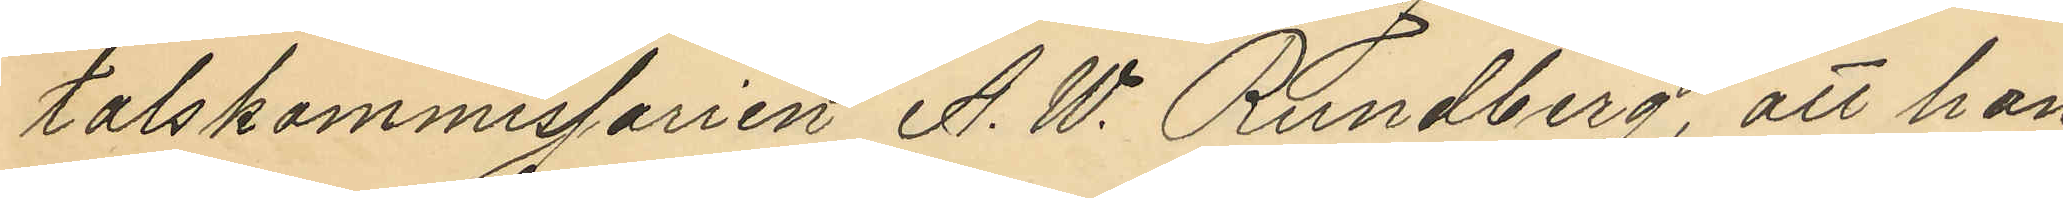talskommissarien A. W. Rundberg, att han
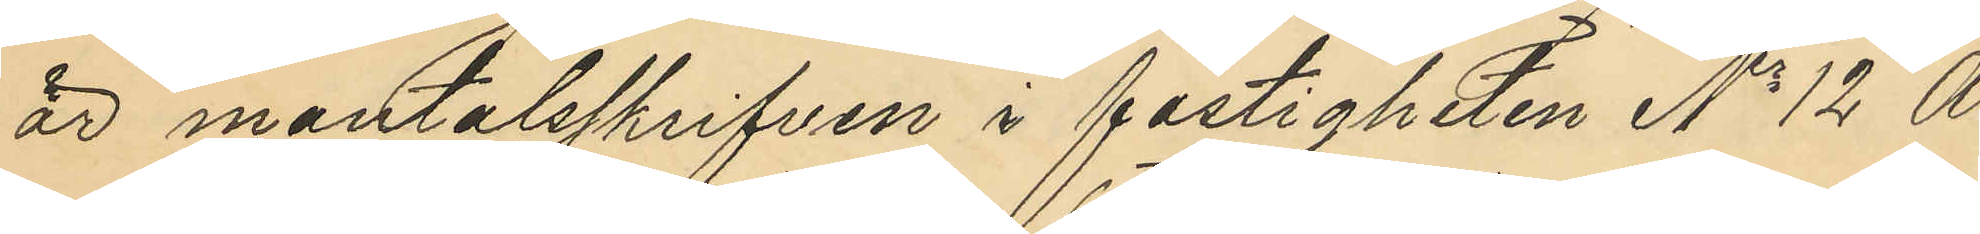mantalsskrifven i fastigheten No 12 A
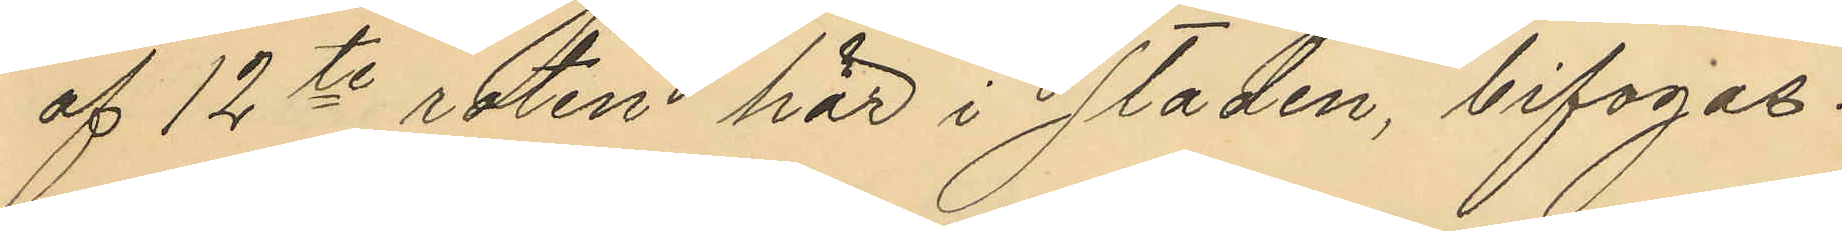af 12te roten här i staden, bifogas.
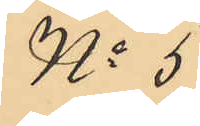No 5
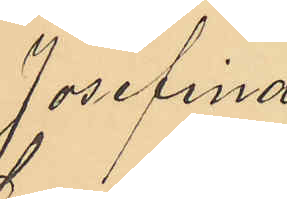Josefina
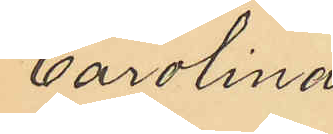Carolina
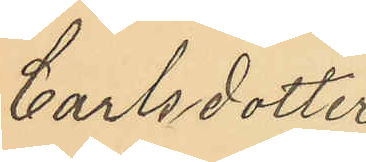Carlsdotter
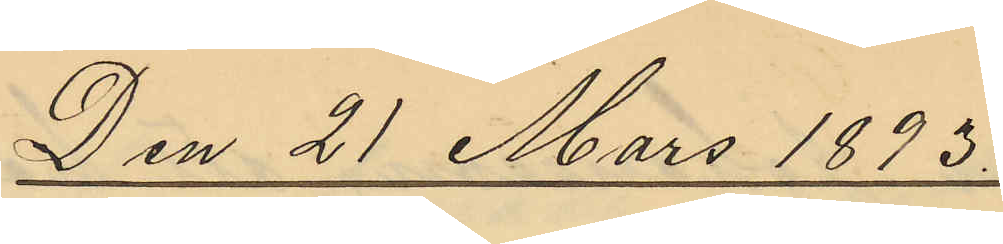Den 21 Mars 1893
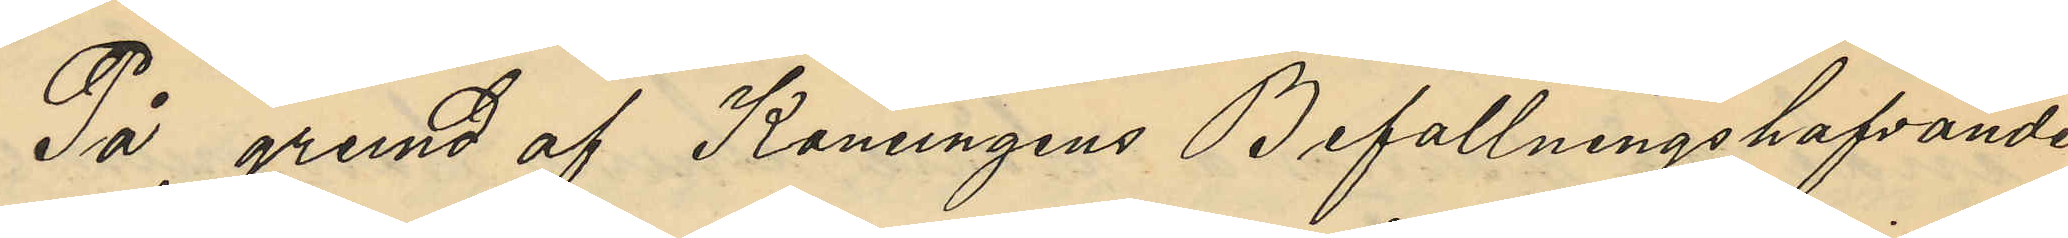På grund af Konungens Befallningshafvandes
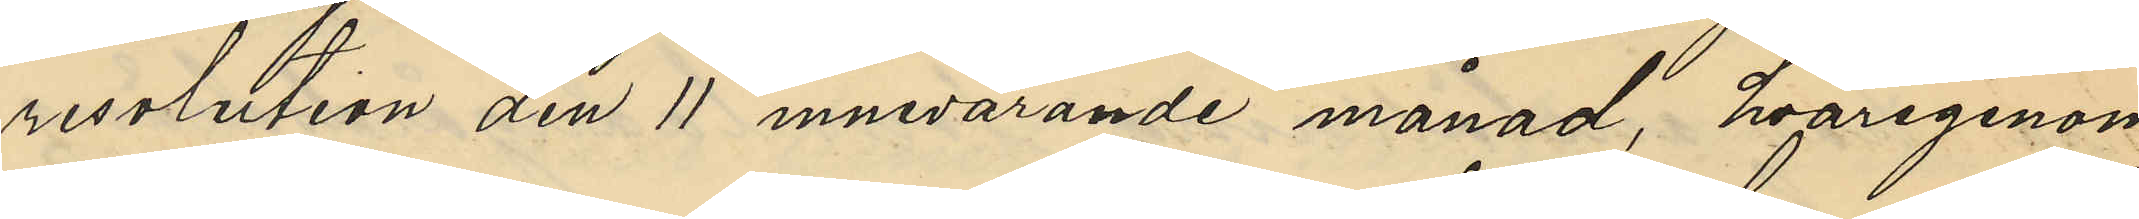resolution den 11 innevarande månad, hvarigenom
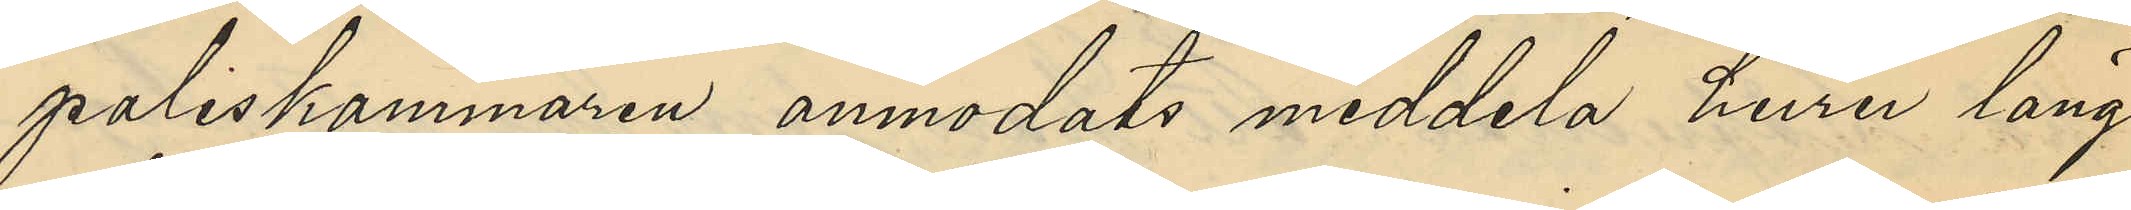poliskammaren anmodats meddela huru länge
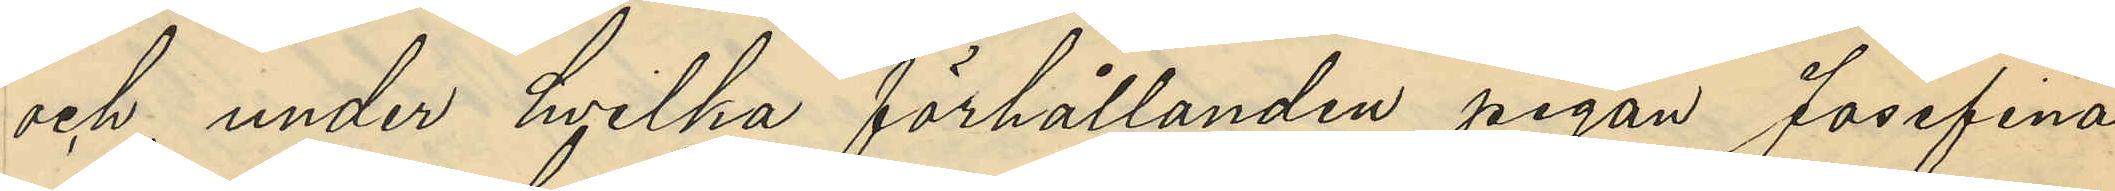och under hvilka förhållanden pigan Josefina
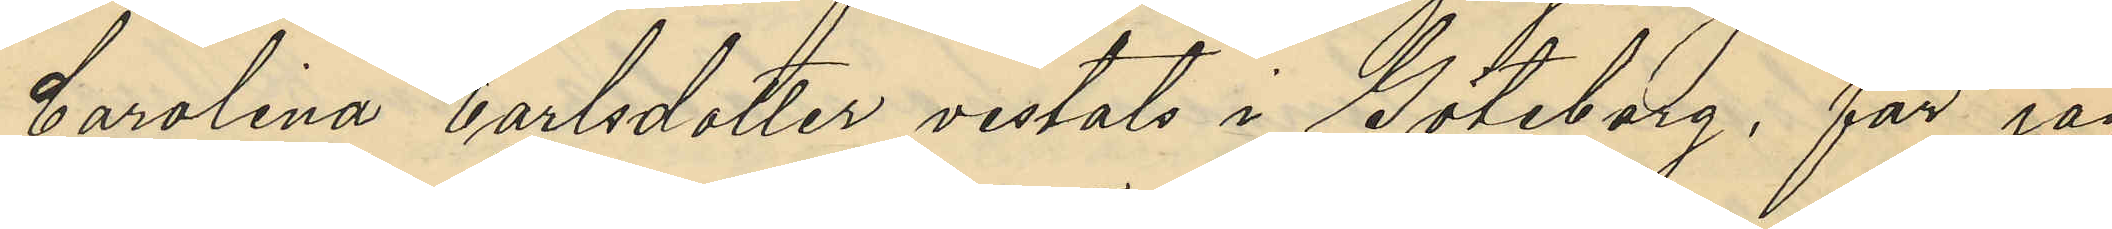Carolina Carlsdotter vistats i Göteborg, får jag
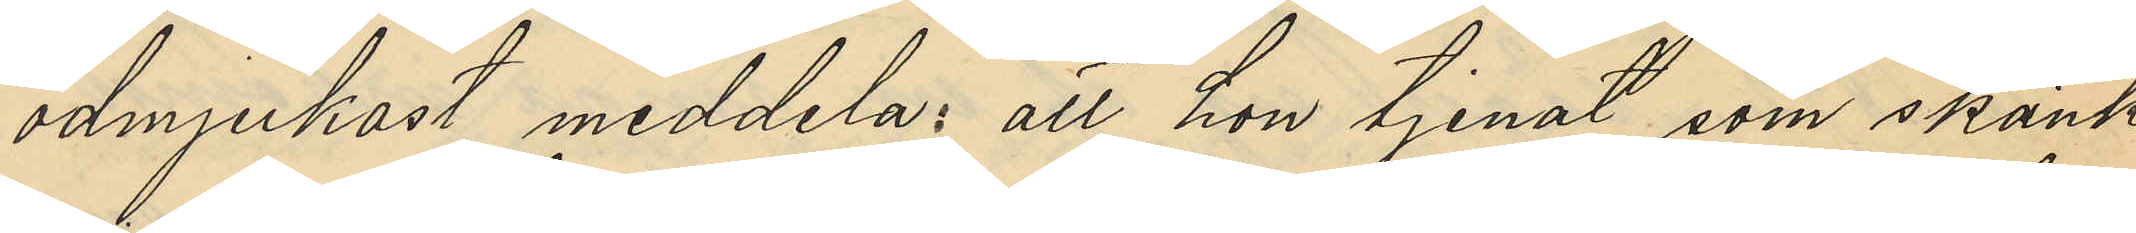ödmjukast meddela: att hon tjenat som skänk¬
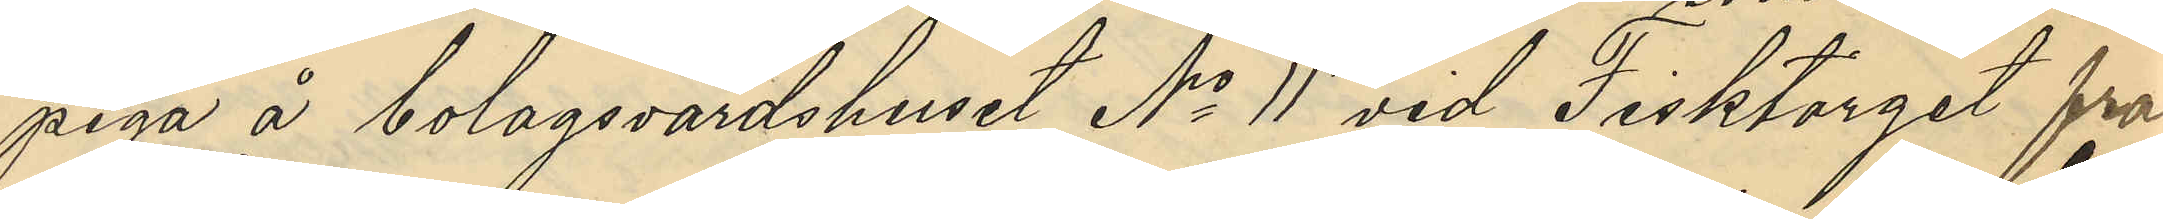piga å bolagsvärdshuset No 11 vid Fisktorget från
